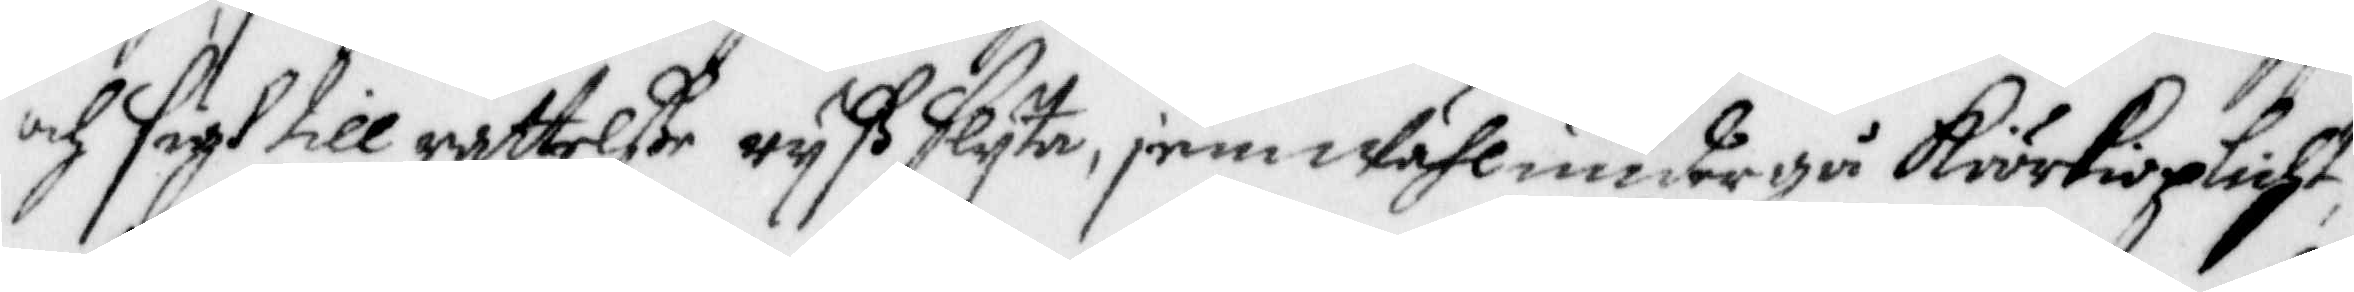och sigh till rättelße ryß slyta, jemwähl undergå Kiörkioplicht,
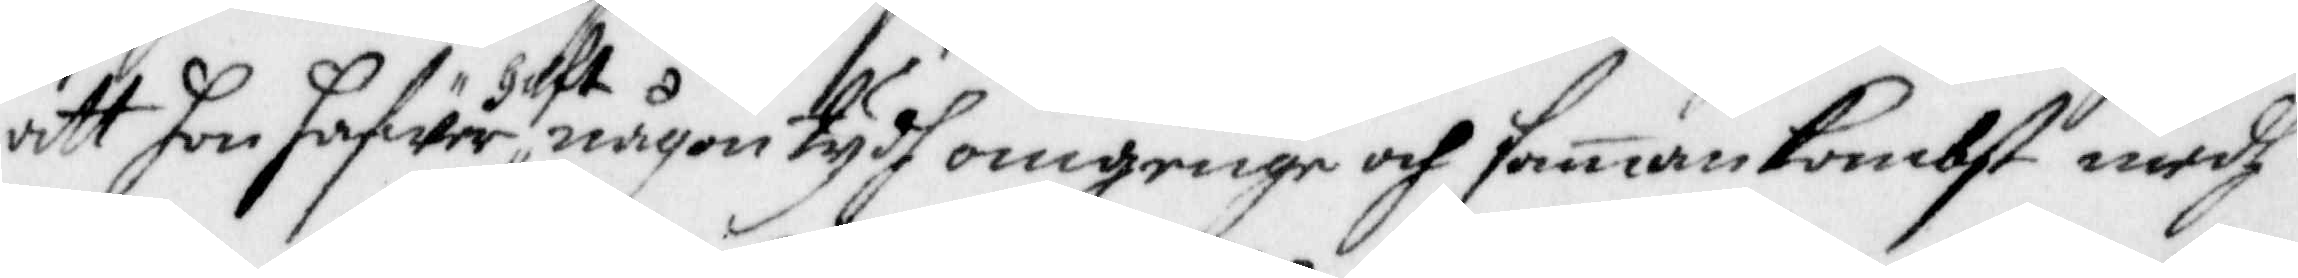att hon hafwer haft någon tydh omgenge och sammankombst medh
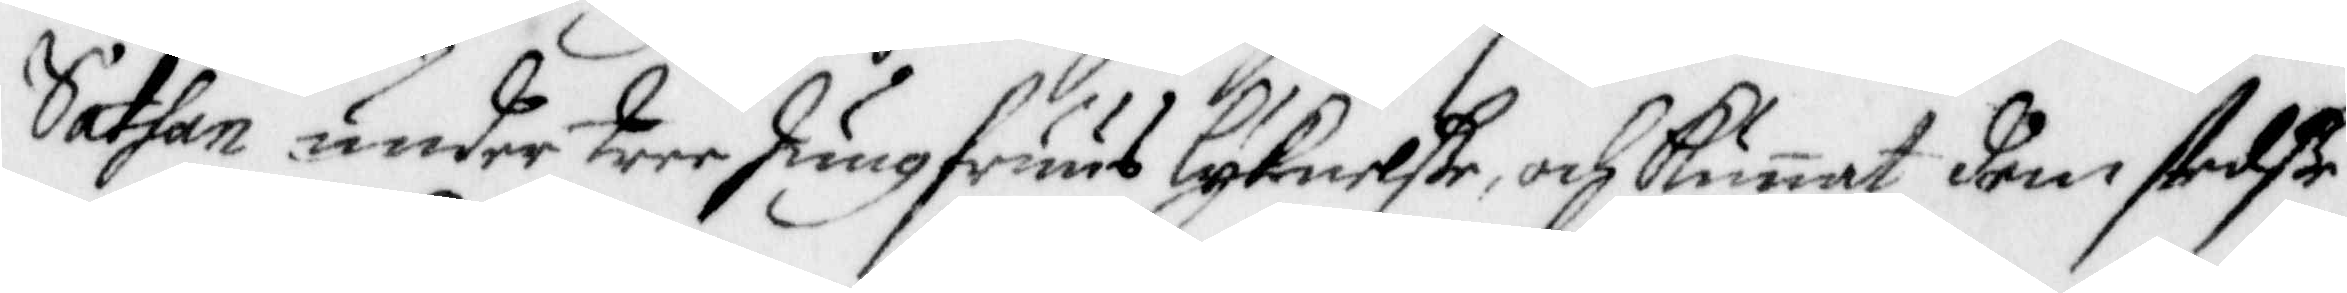Sathan under tree Jungfruus lyknelße, och Kunnat dem stedße
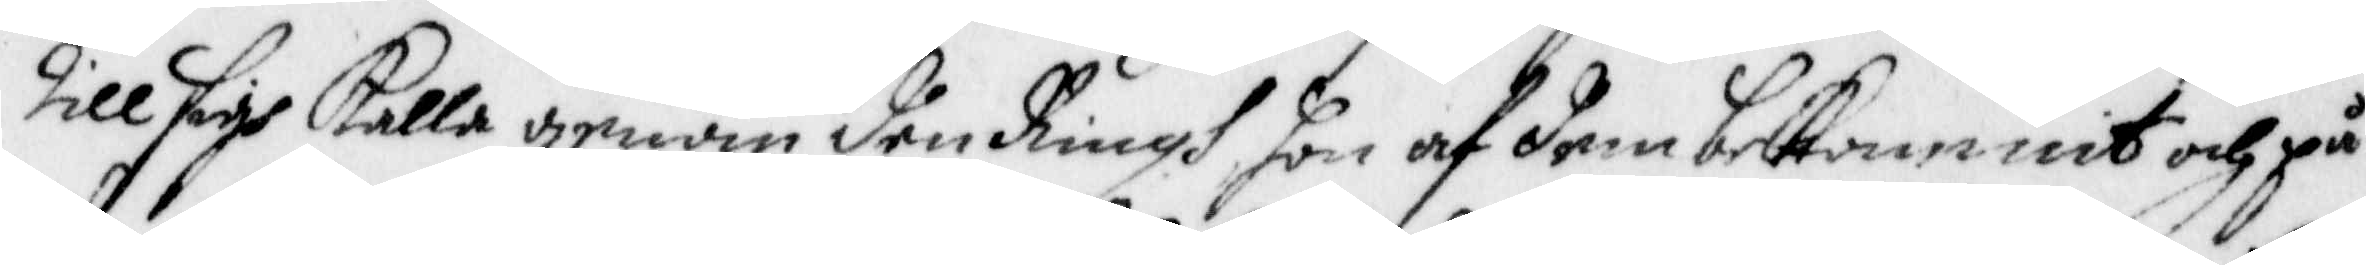till sigh kalla genom den Ringh hon af dem bekommit och på
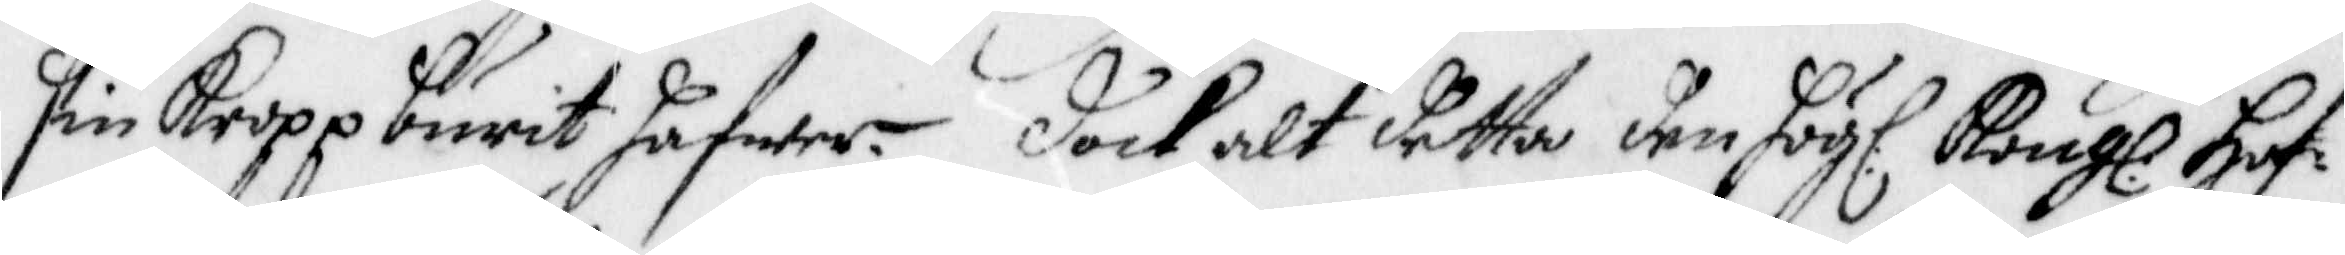sin Kropp burit hafwer. Dock alt detta den Högl. Kongl. Hof¬
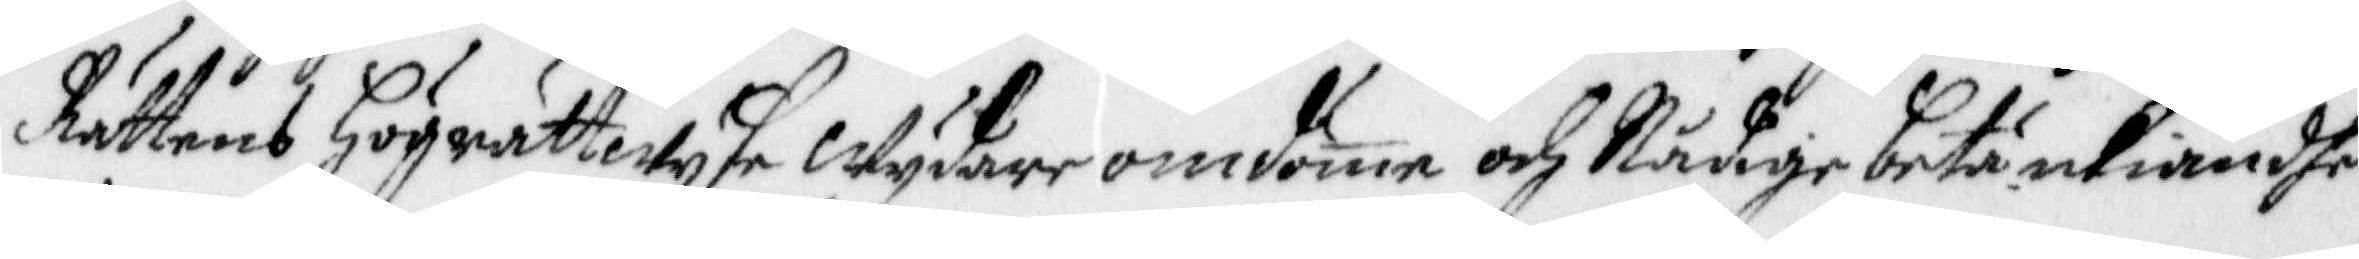Rättens Högrättwyse Wydare omdöme och Nådige betänkiandhe,
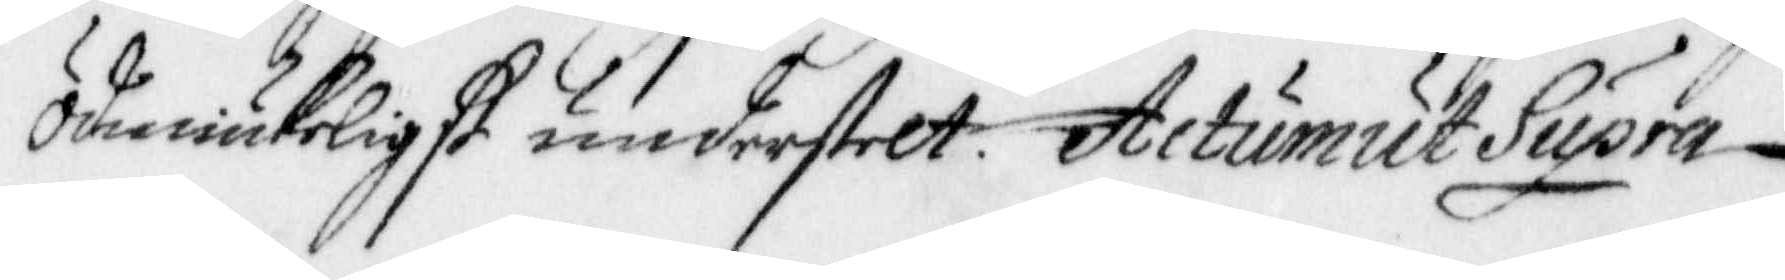ödmiukeligst understelt. Actum ut Supra.
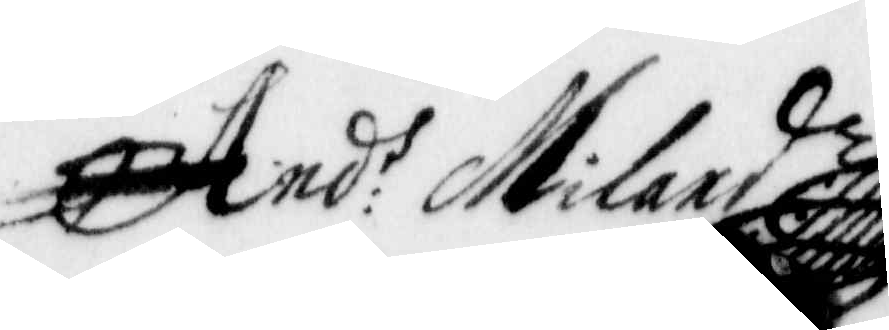And: Milard
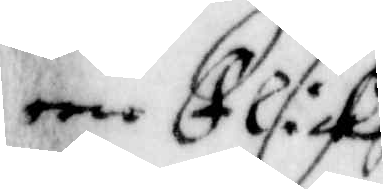een Flicka
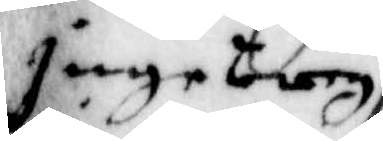Ingeborg
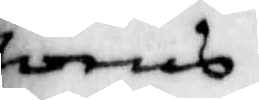Joens
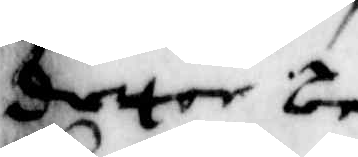dotter be¬
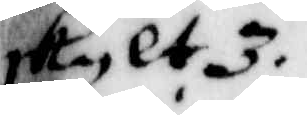skylt 3
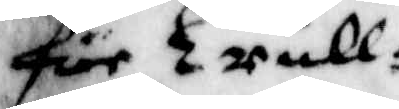Qwinfolk
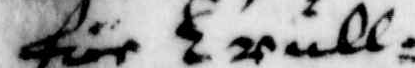för Trull¬
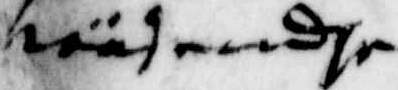wäsendhe
